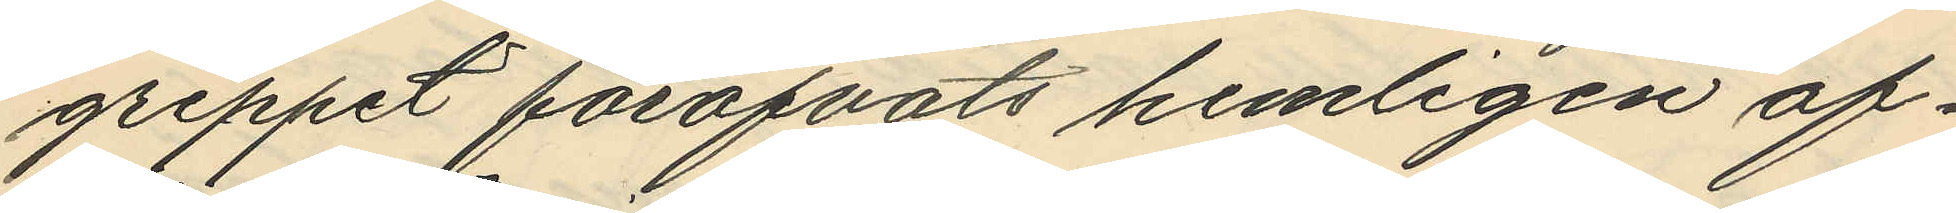greppet föröfvats hemligen af¬
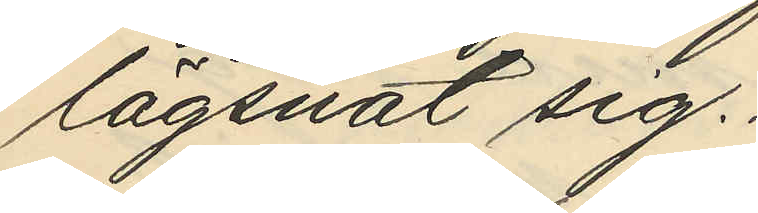lägsnat sig.
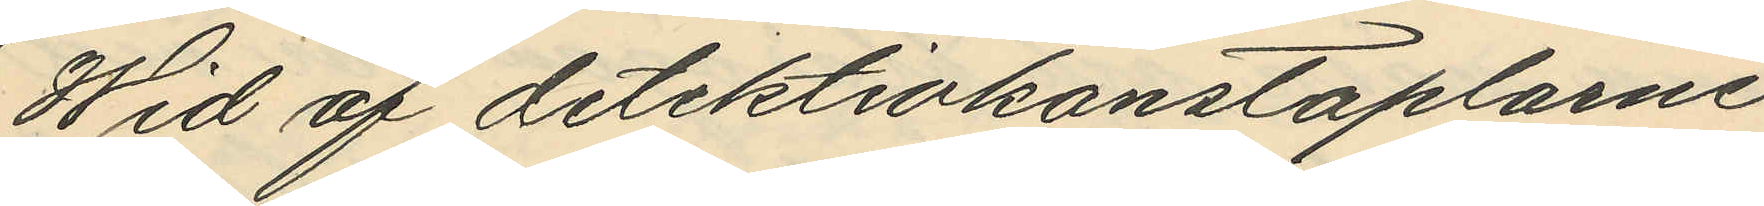Wid af detektivkonstaplarne
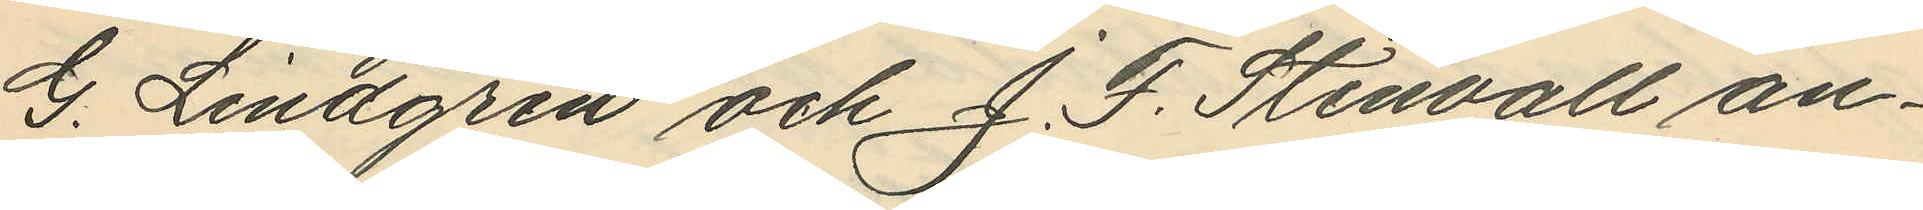G. Lindgren och J. F. Stenvall an¬
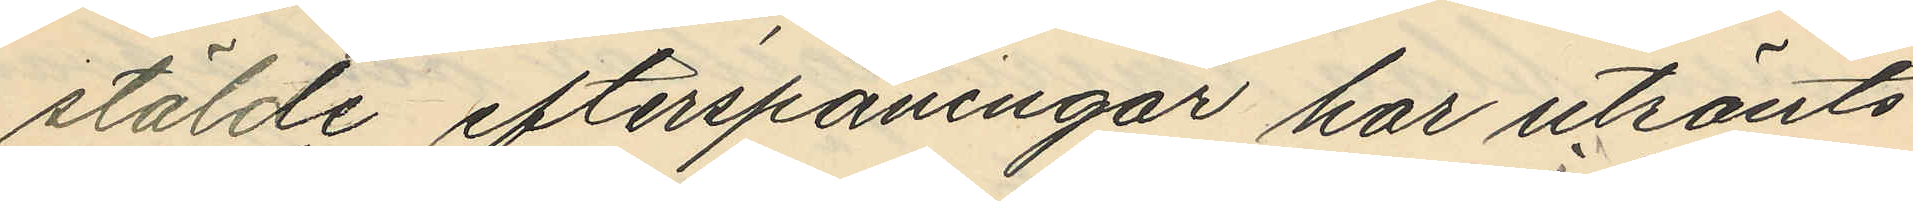stälde efterspaningar har utrönts
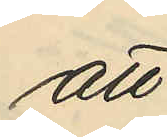att
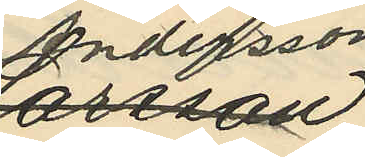Andersson
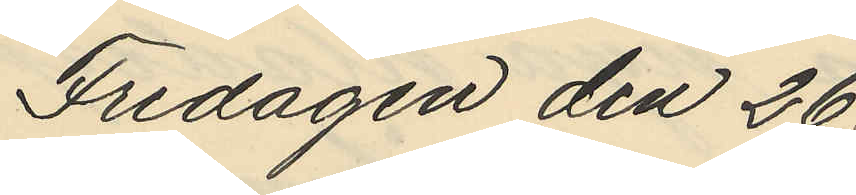Fredagen den 26
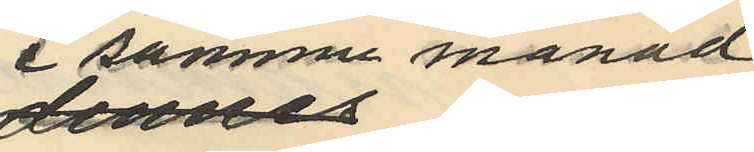i samma månad
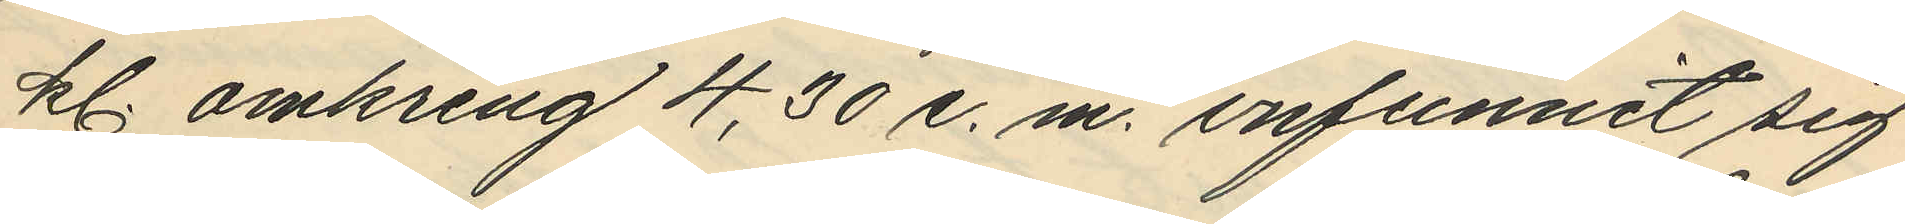kl. omkring 4,30 e. m. infunnit sig
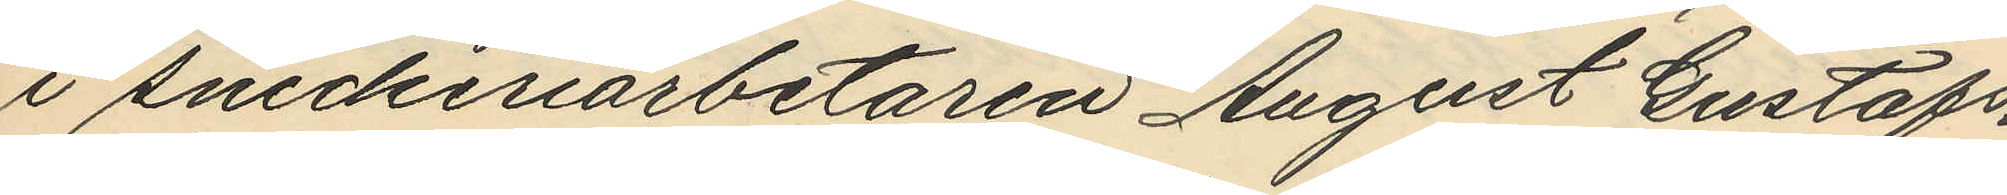i snickeriarbetaren August Gustafs¬
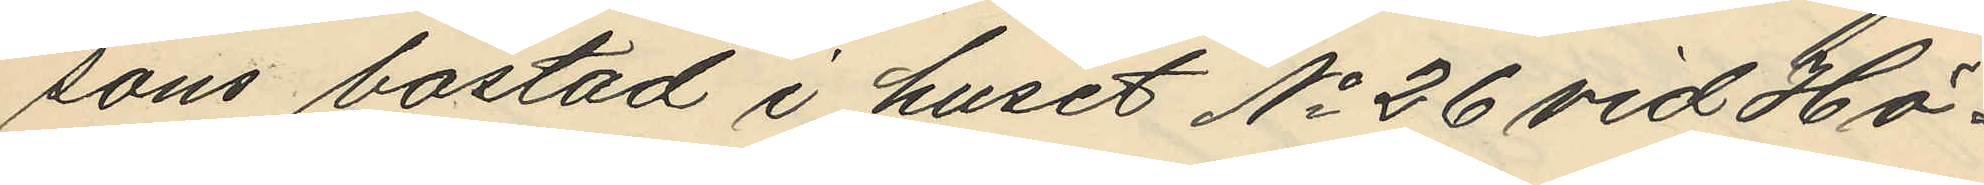sons bostad i huset No 26 vid Hö¬
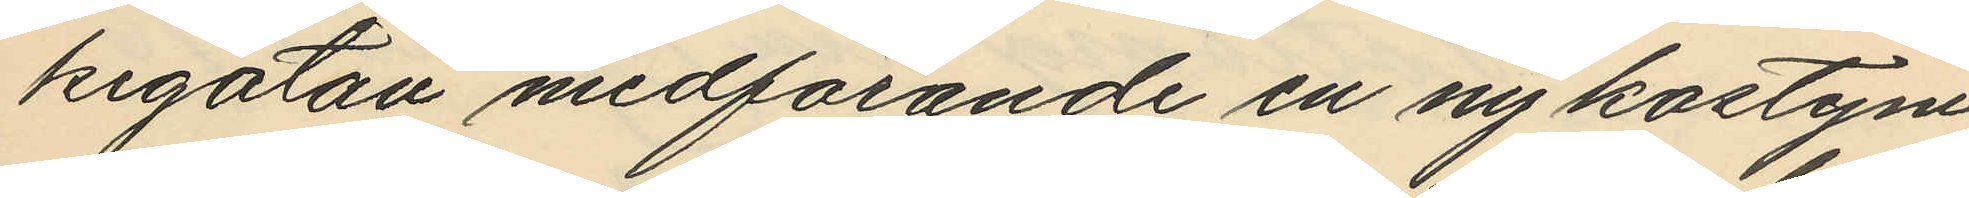kegatan medförande en ny kostym
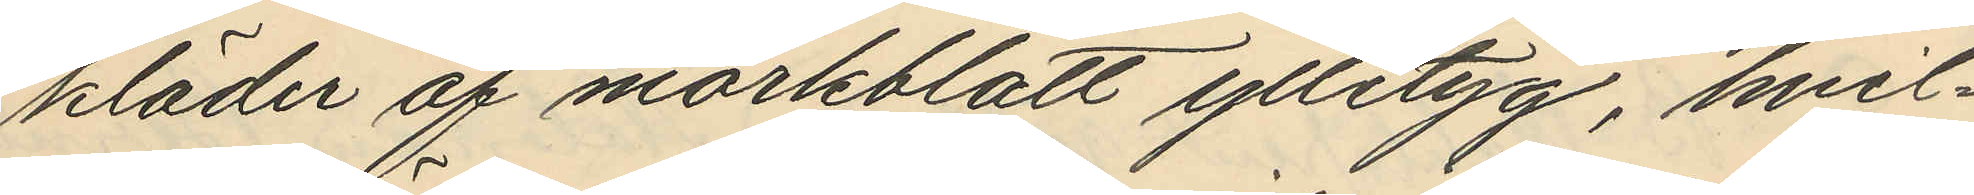kläder af mörkblått ylletyg, hvil¬
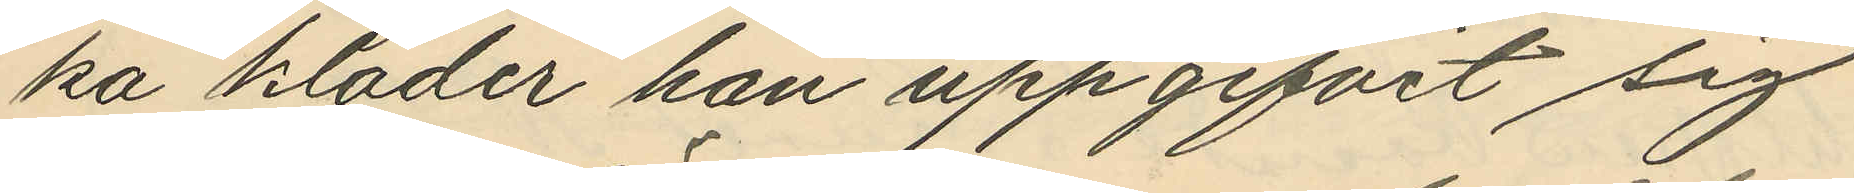ka kläder han uppgifvit sig
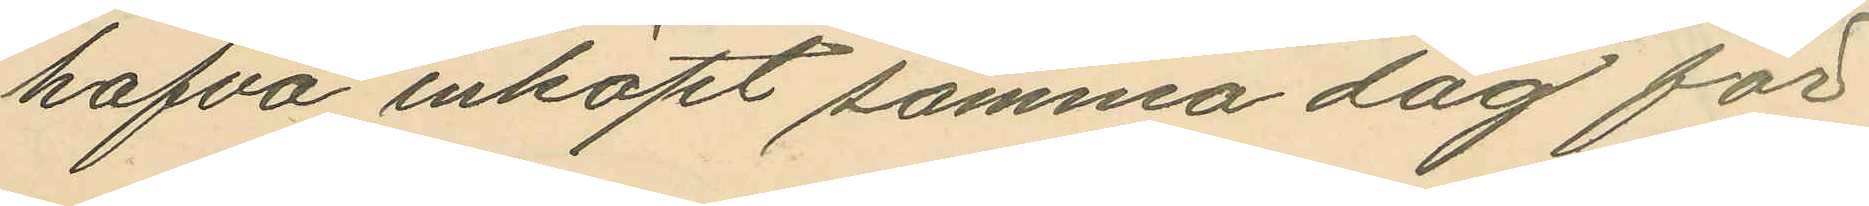hafva inköpt samma dag för
